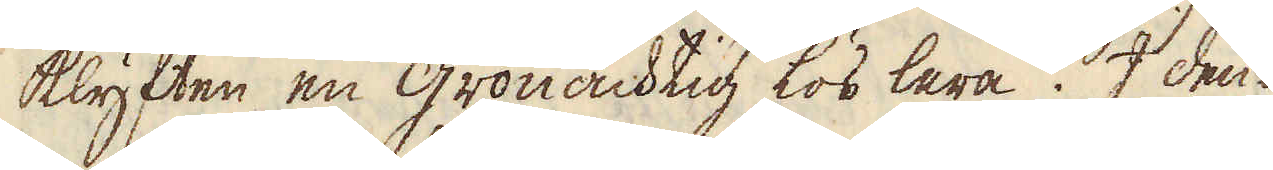klyften en grönachtig lös lera. I den-
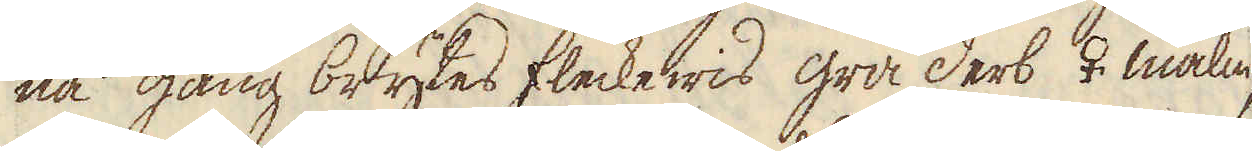na gång brytes fleckewis grå derb ♀ malm,
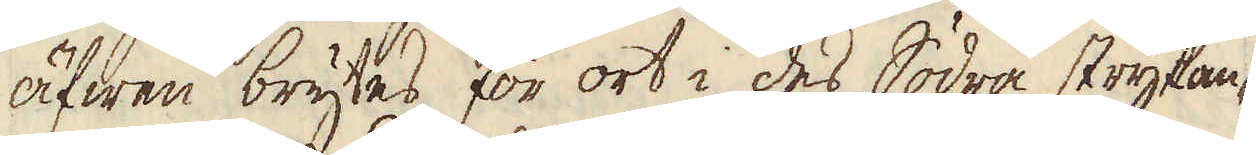äfwen brytes för ort i des Södra strykan-
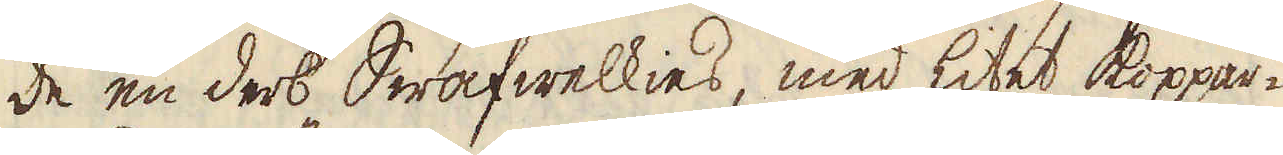de en derb Swafwelkies, med litet koppar-
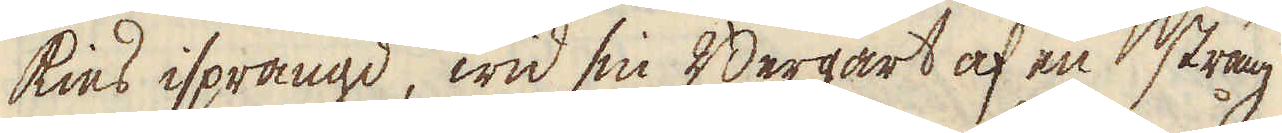kies isprängd, wid sin Bergart af en sträng
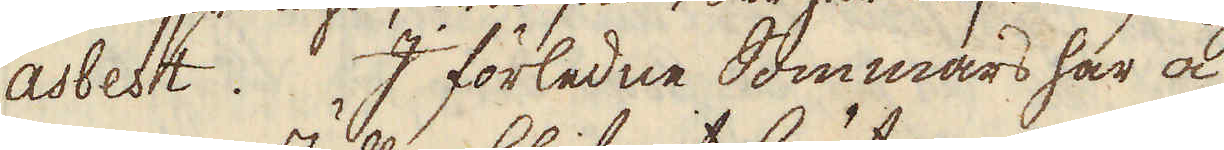asbest. I förledne Sommars har å
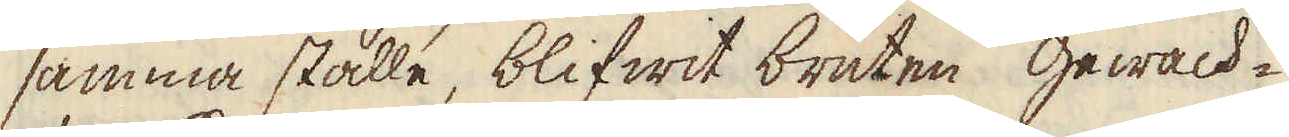samma ställe, blifwit bruten gewach-
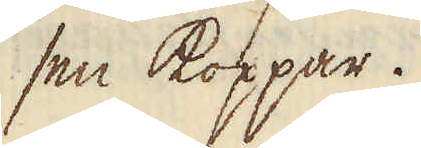sen koppar.
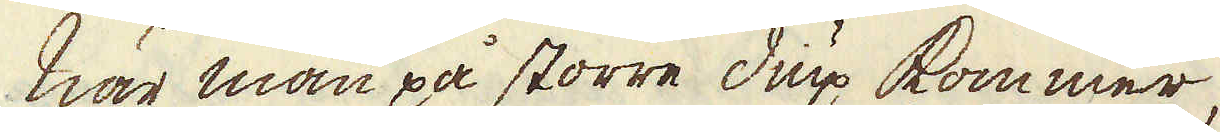när man på större diup kommer,
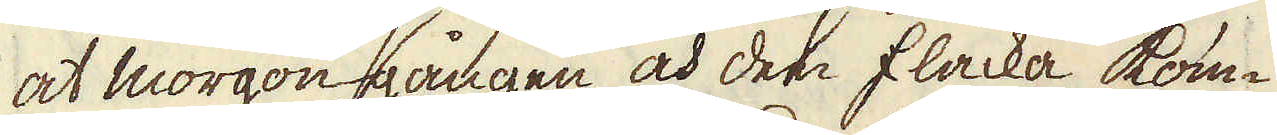at morgon gången och den flacka kom-
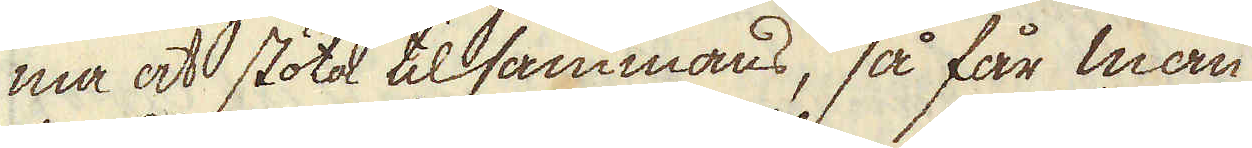ma at stöta tillsammans, så får man
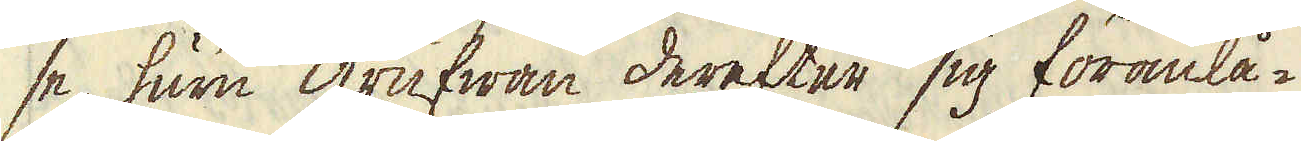se huru grufwan derefter sig föranlå-
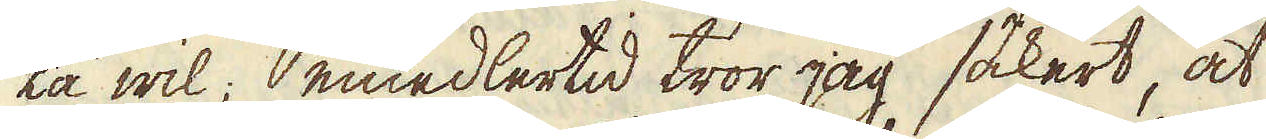ta wil; emedlertid tror jag säkert, at
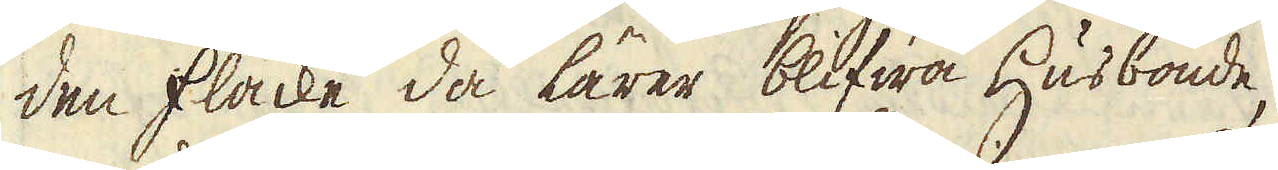den flacke då lärer blifwa Husbonde,
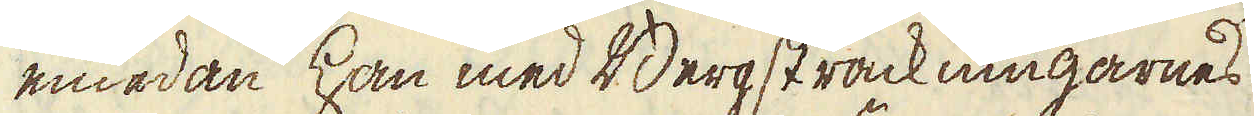emedan han med Bergsträckningarnes
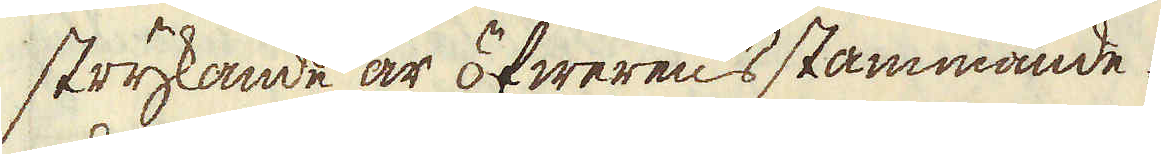strykande är öfwerens stämmande.
